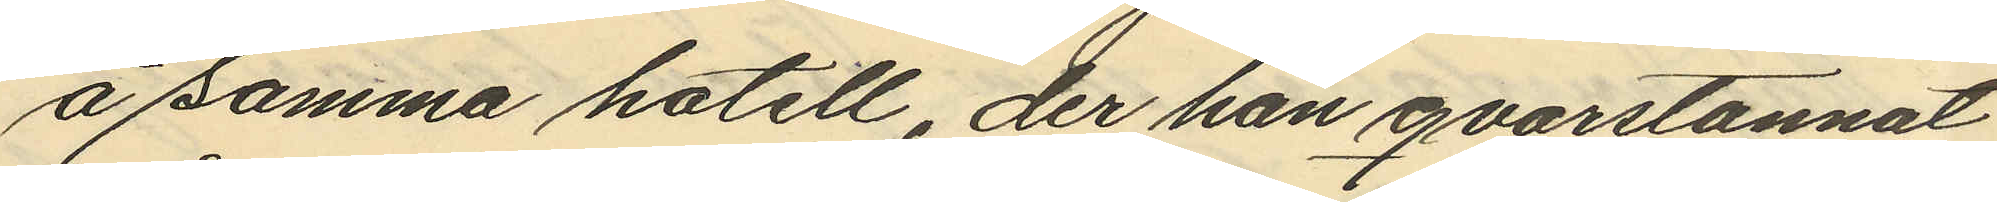å samma hotell, der han qvarstannat
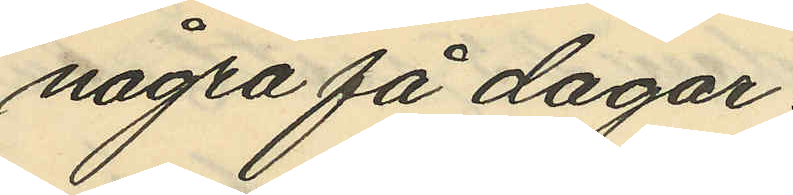några få dagar.
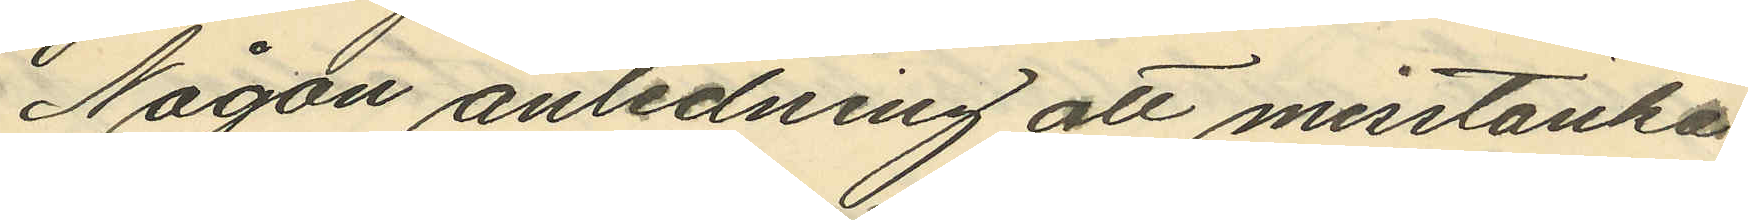Någon anledning att misstänka
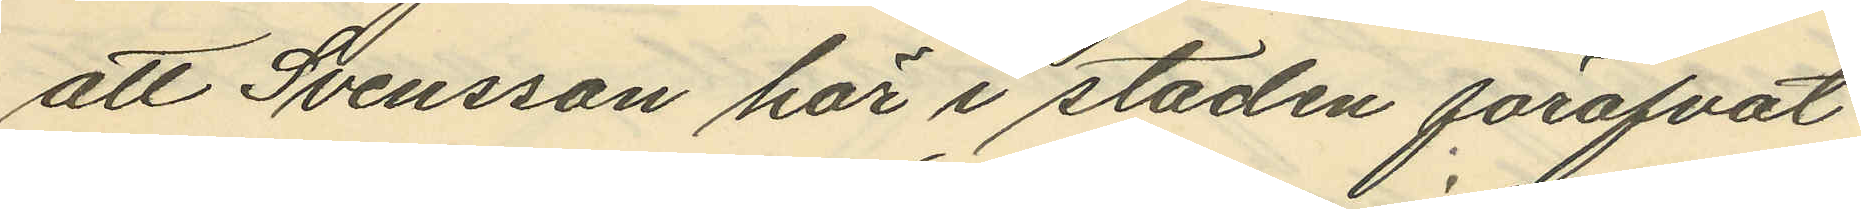att Svensson här i staden föröfvat
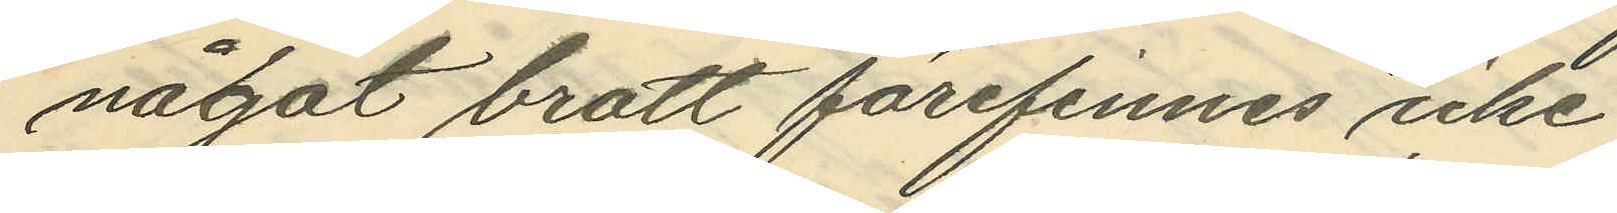något brott förefinnes icke
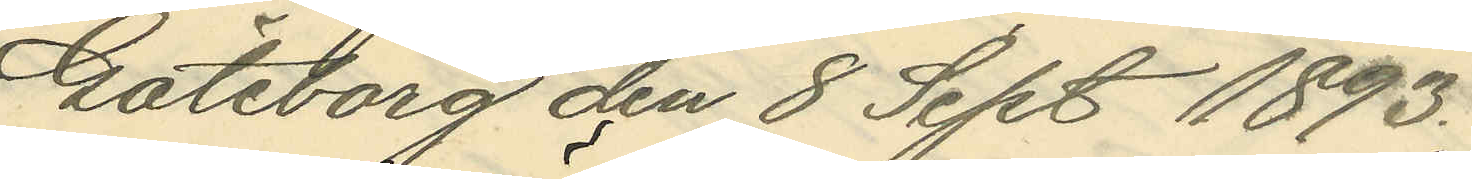Göteborg den 8 Sept. 1893.
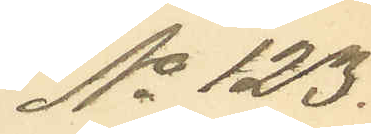No 123.
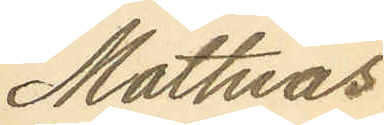Mattias
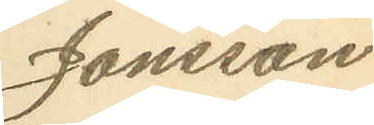Jönsson
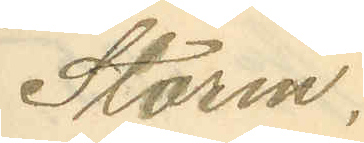Storm.
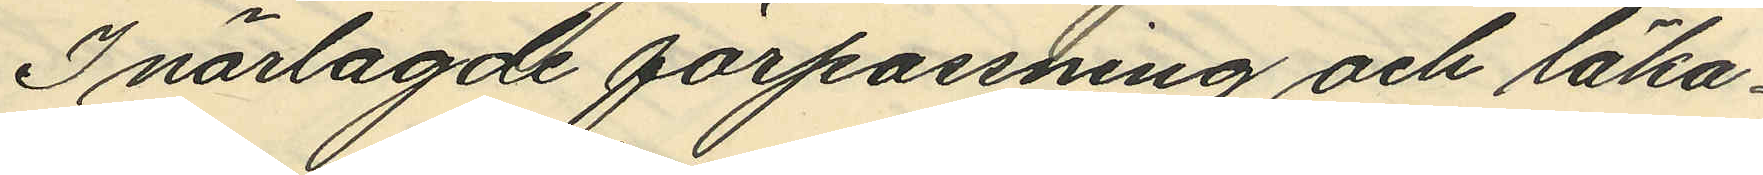I närlagde förpassning och läka¬
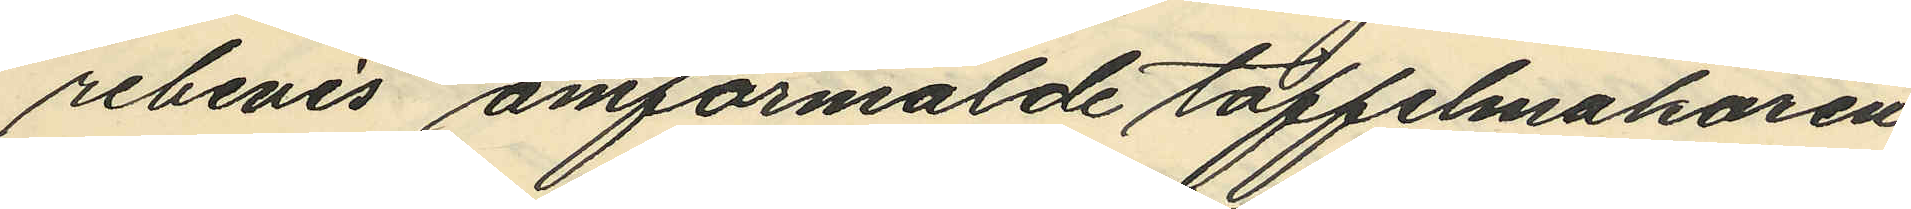rebevis omförmälde toffelmakaren
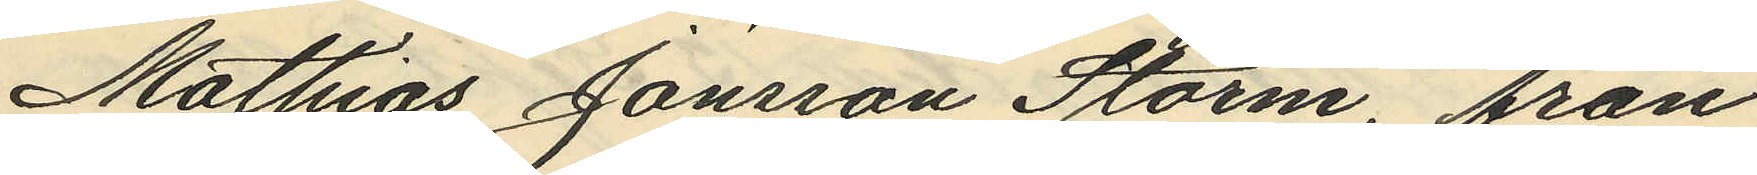Mathias Jönsson Storm, från
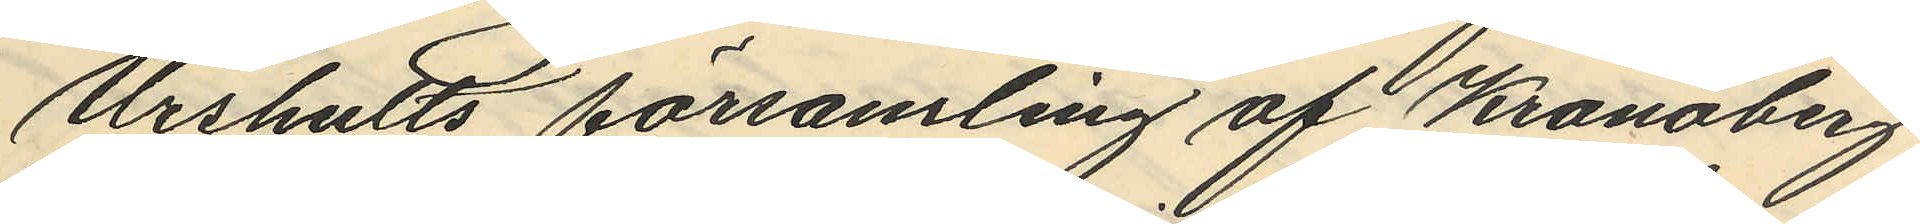Urshults församling af Kronobergs
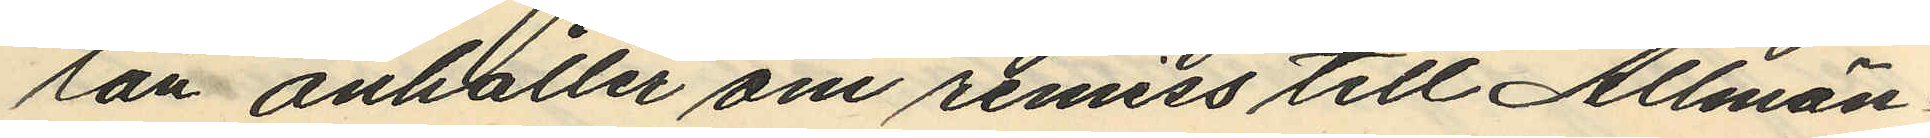län anhåller om remiss till Allmän¬
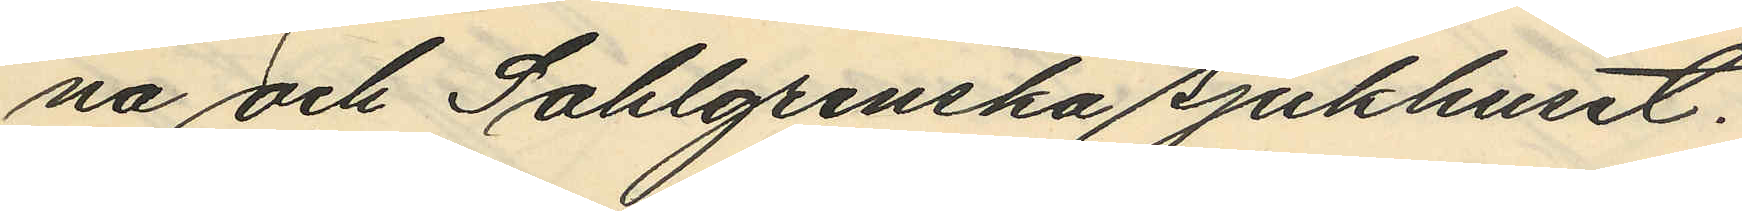na och Sahlgrenska sjukhuset.
